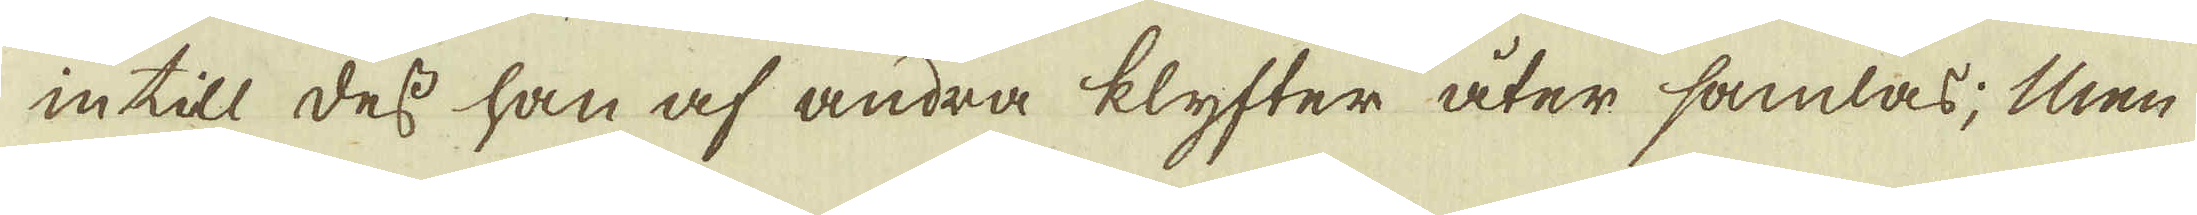intill dess han af andra klyfter åter samlas; Men
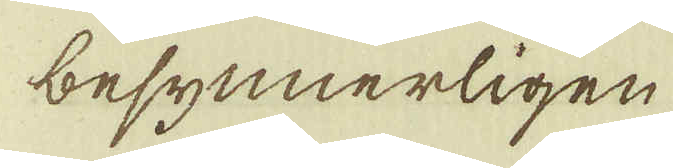besynnerligen
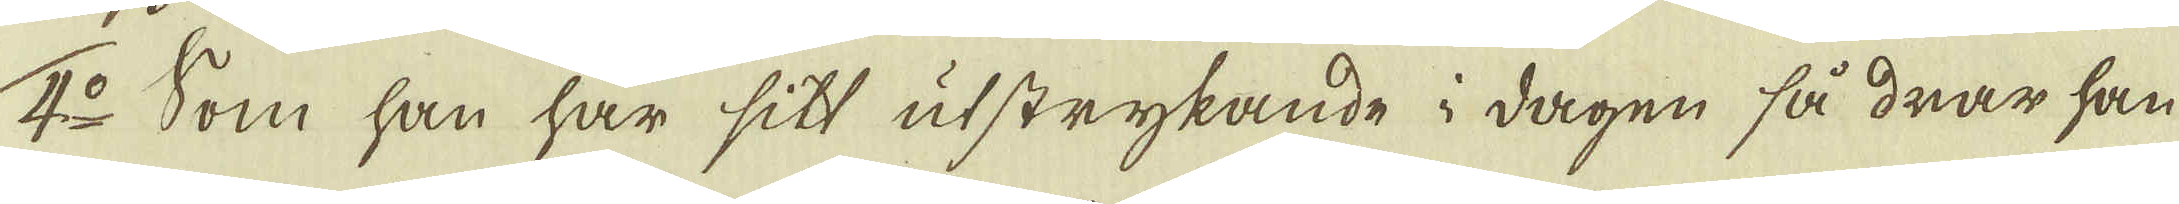4:o Som han har sitt utstrykande i dagen så drar han
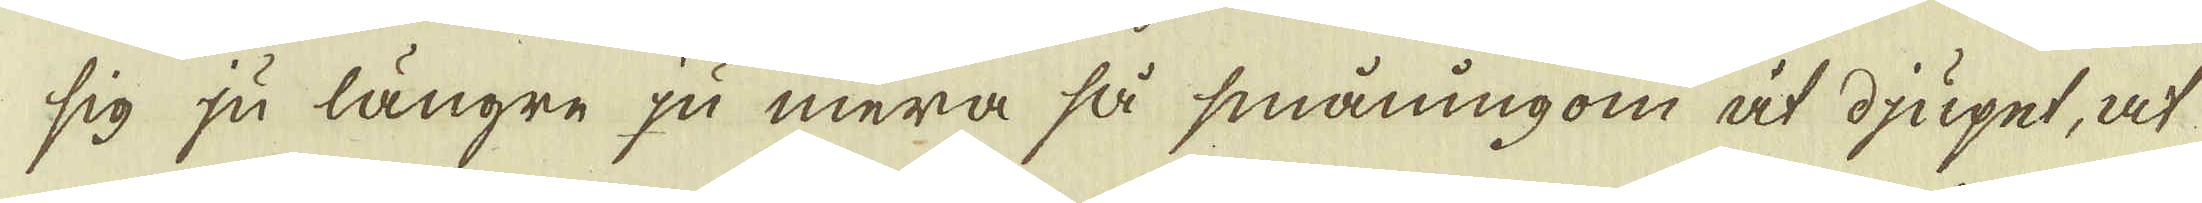sig ju längre ju mera så småningom åt djupet, at
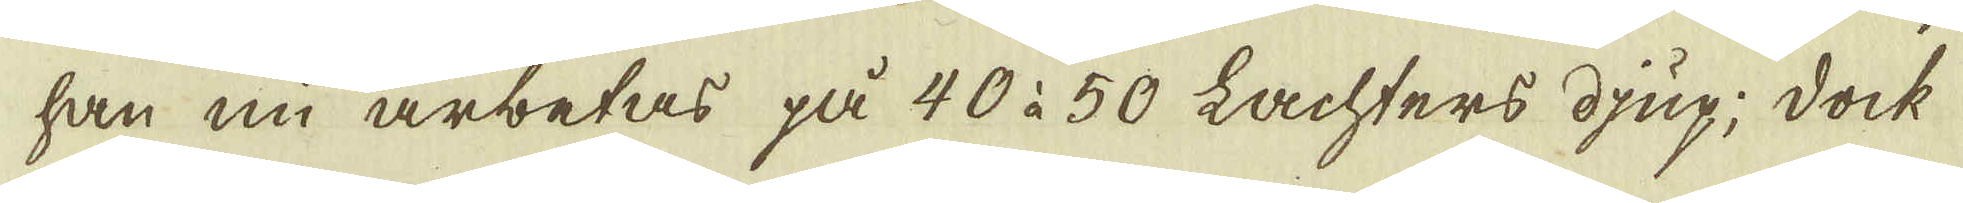han nu arbetas på 40 à 50 Lachters djup; dock
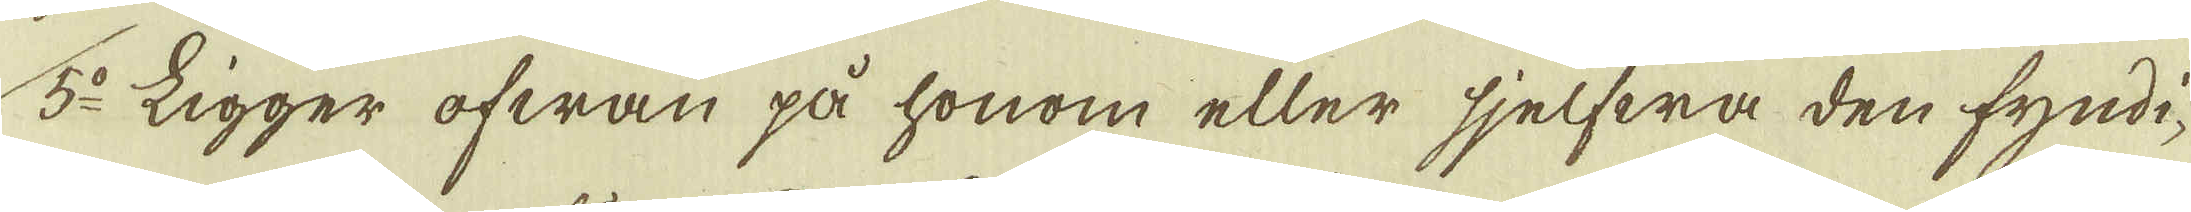5:o Ligger ofwan på honom eller sjelfwa den fyndi-
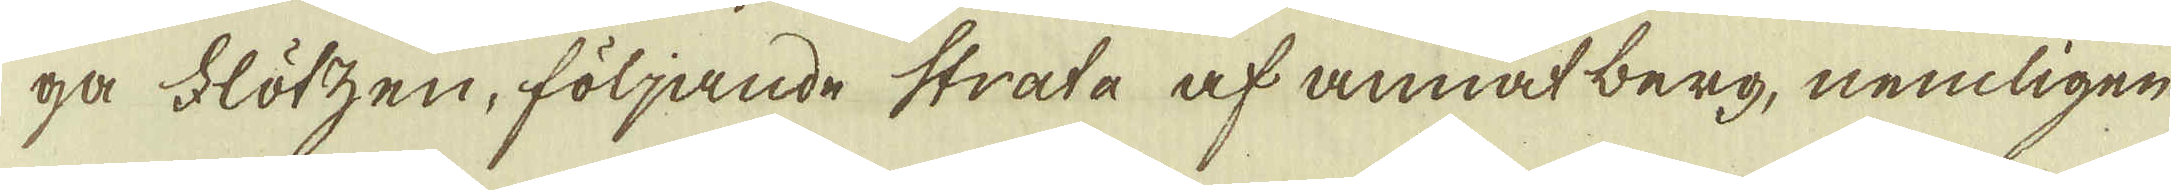ga Flötzen, följande strata af annat berg, nemligen
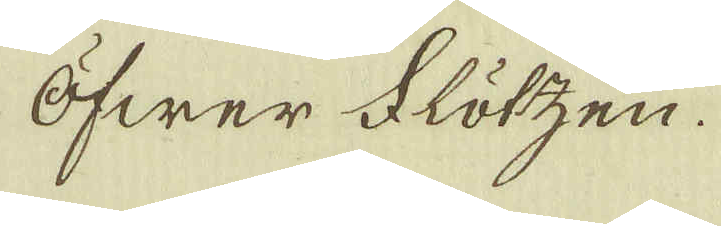Öfwer Flötzen.
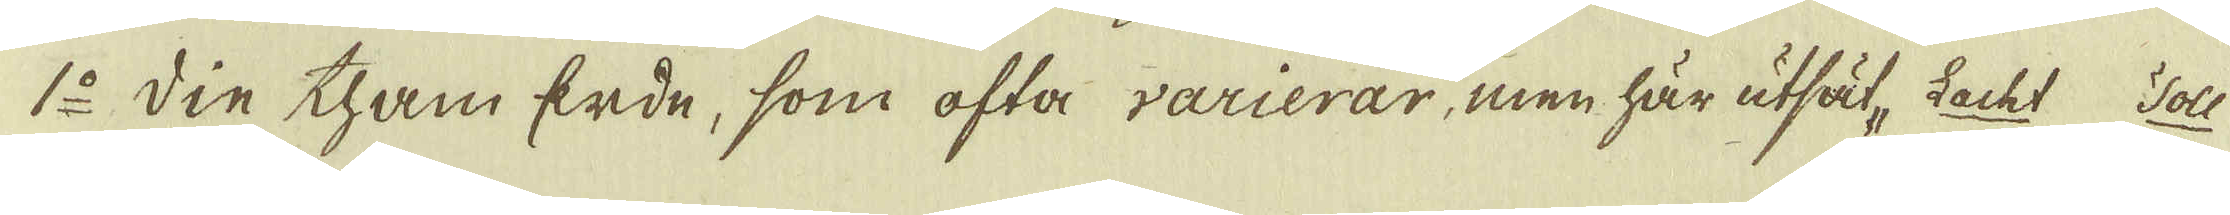1:o Din tham Erde, som ofta varierar, men här utsät, Lacht Tohl
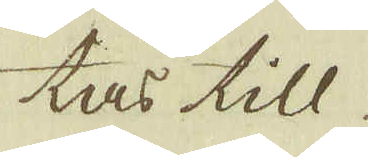tas till
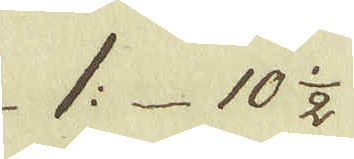1: 10 1/2
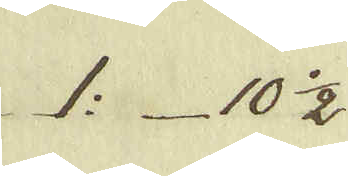1: 10 1/2
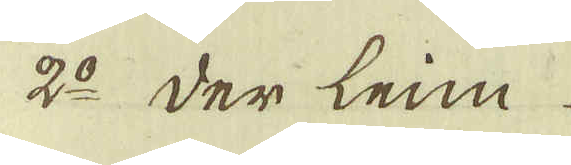2:o der leim
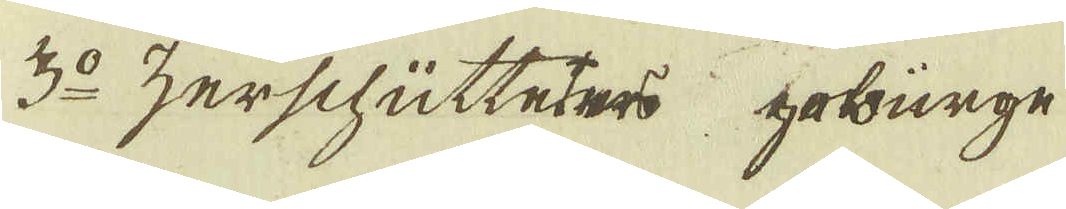3:o Zerschütteters geburge
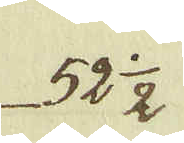52 1/2
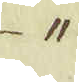"
